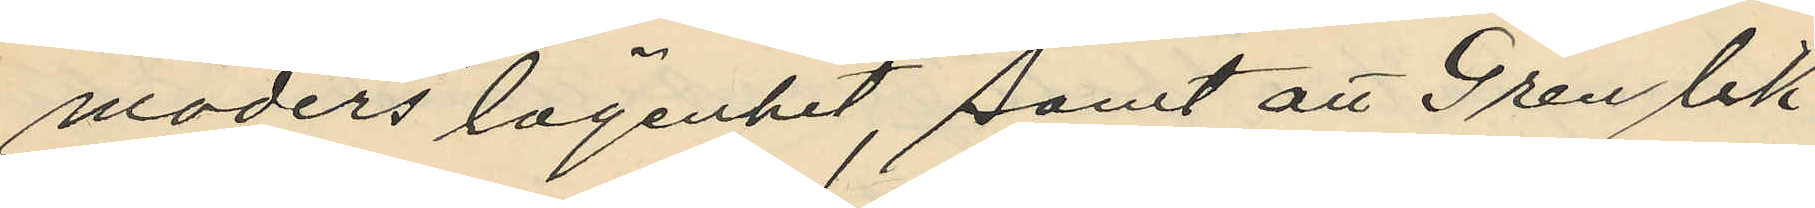moders lägenhet, samt att Gren lik¬
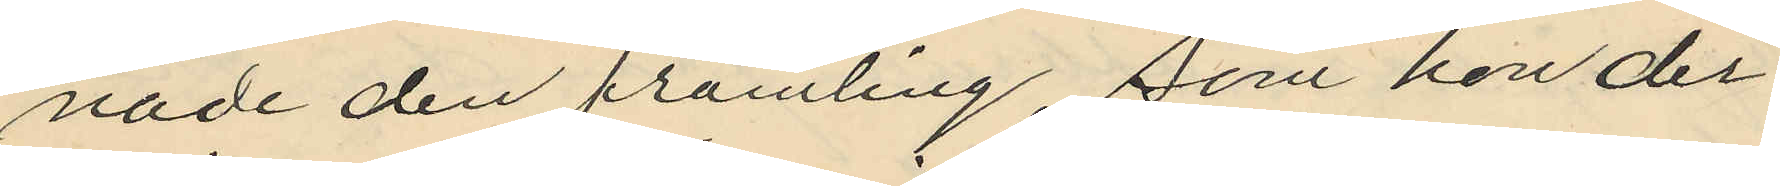nade den främling, som hon der¬
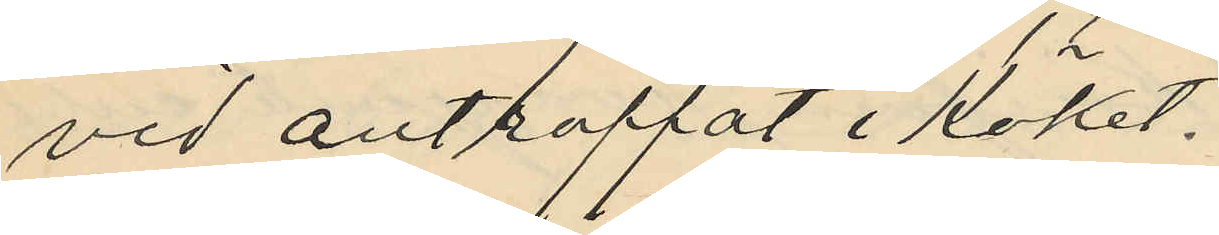vid anträffat i köket.
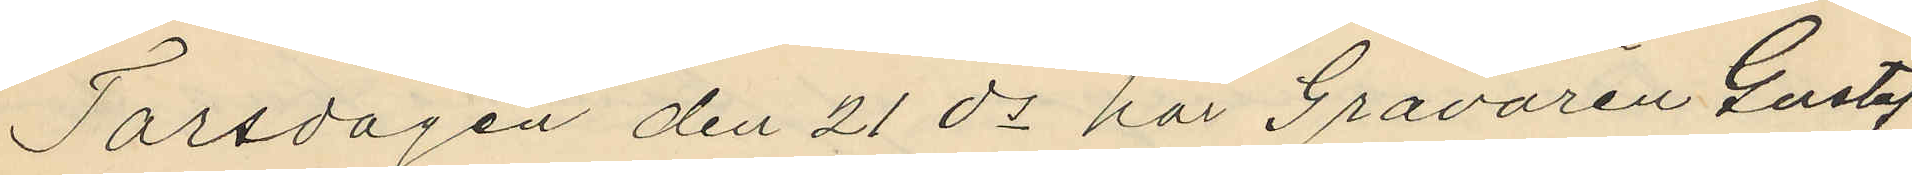Torsdagen den 21 ds har Garvaren Gustaf
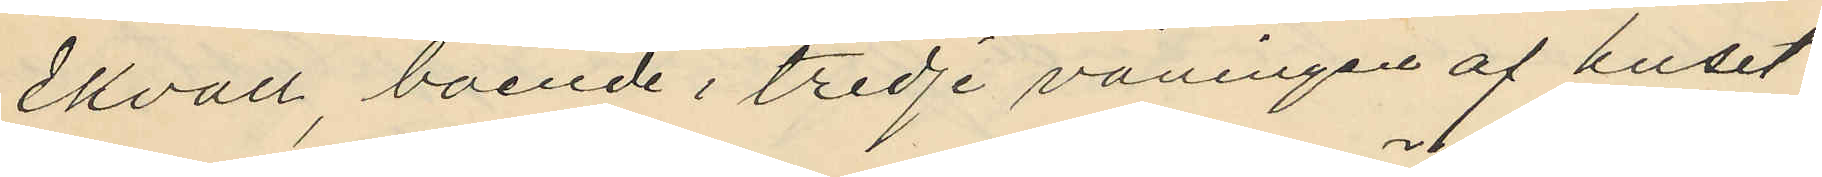Ekvall, boende i tredje våningen af huset
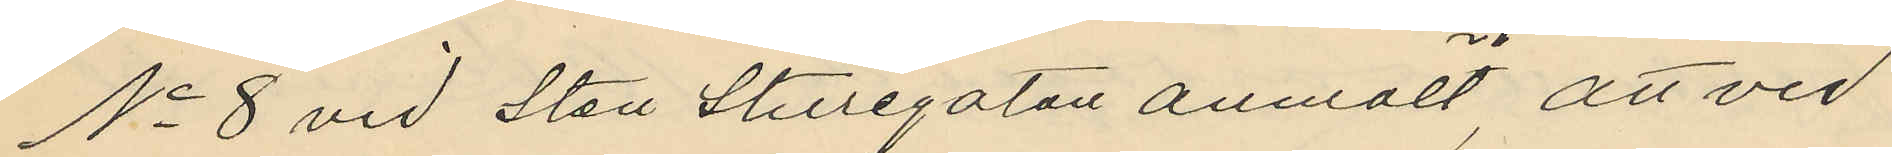No 8 vid Sten Sturegatan anmält, att vid
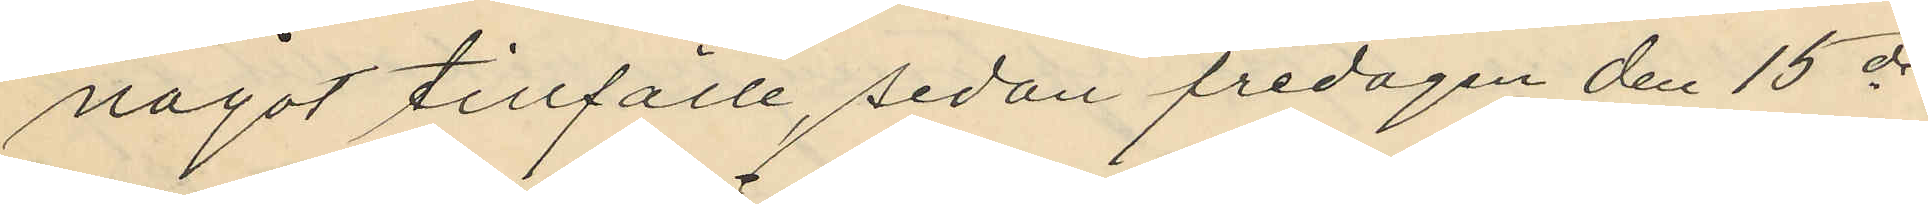något tillfälle, sedan fredagen den 15 ds
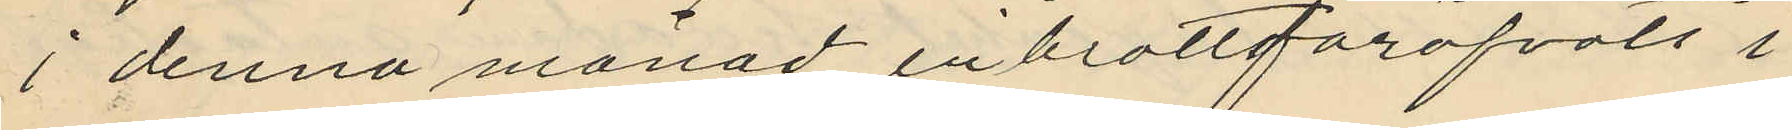i denna månad inbrott föröfvats i
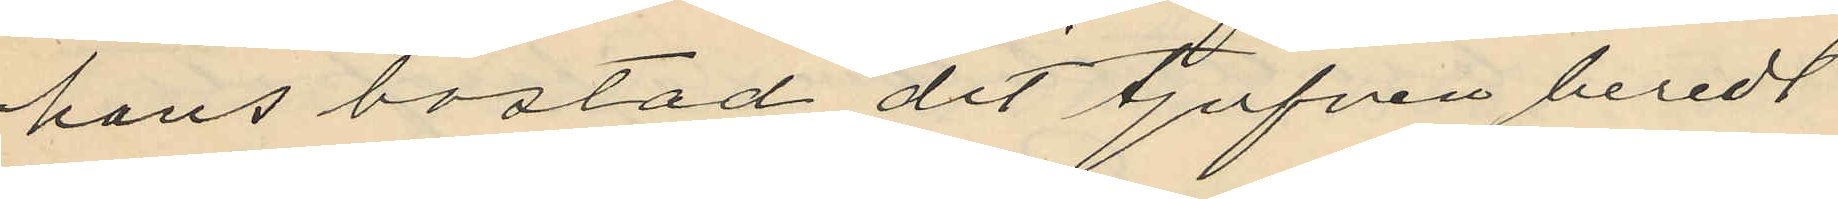hans bostad dit tjufven beredt
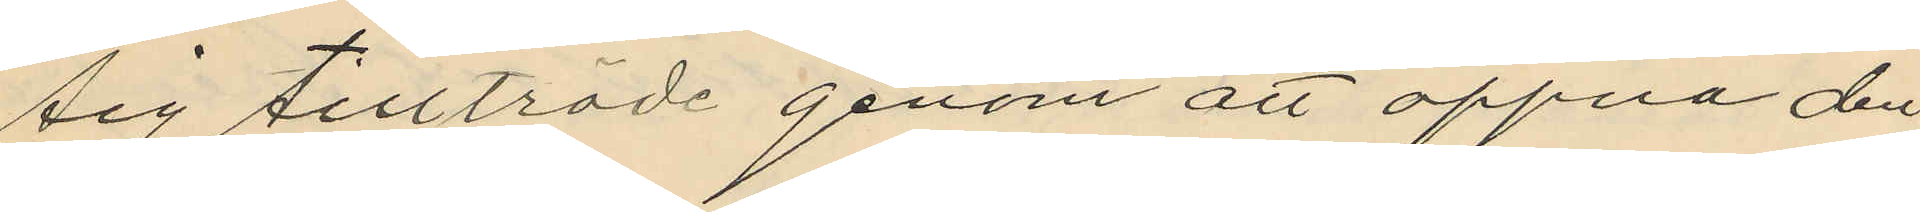sig tillträde genom att öppna den
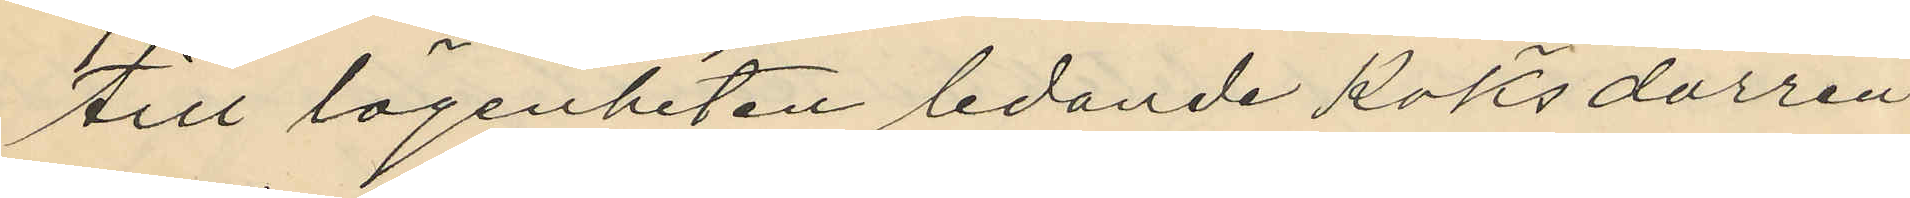till lägenheten ledande köksdörren
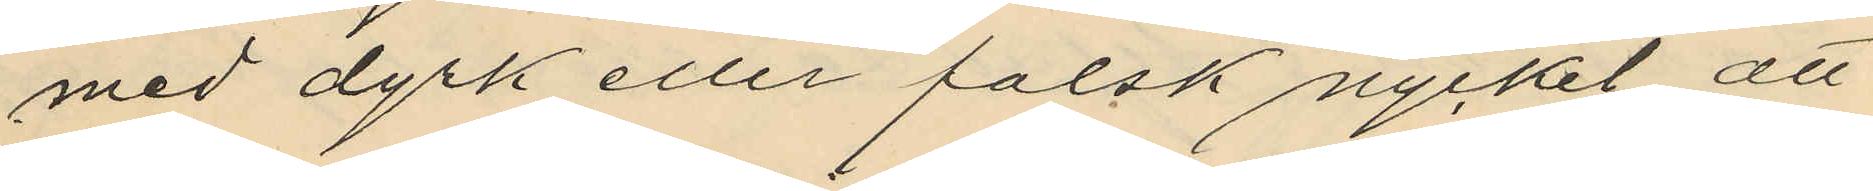med dyrk eller falsk nycket att
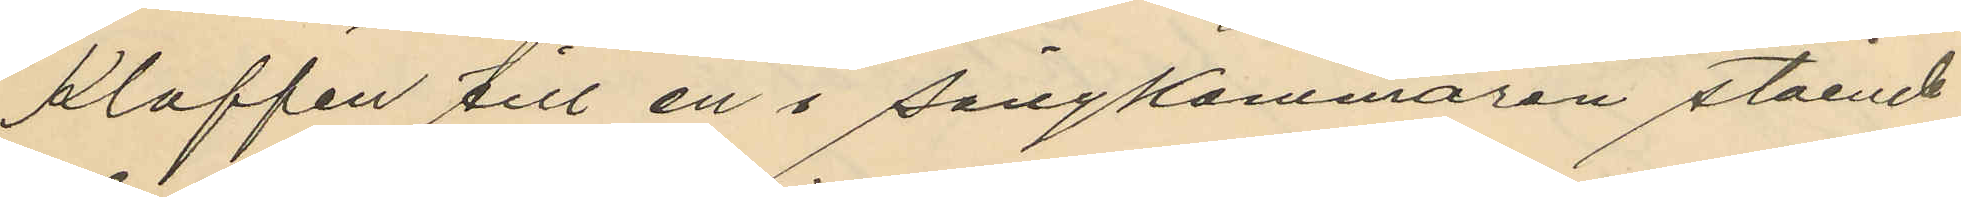klaffen till en i sängkammaren stående
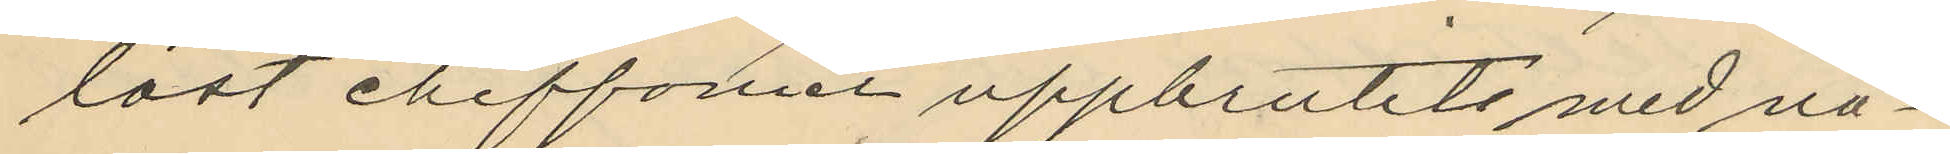låst cheffonier uppbrutits med nå¬
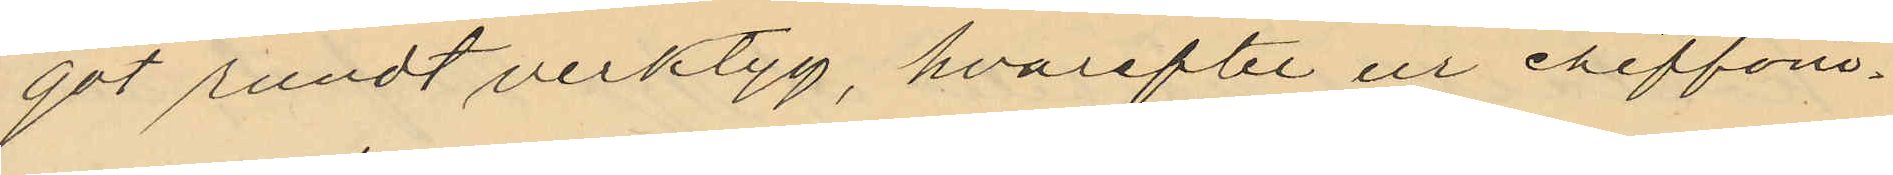got rundt verktyg, hvarefter ur cheffoni¬
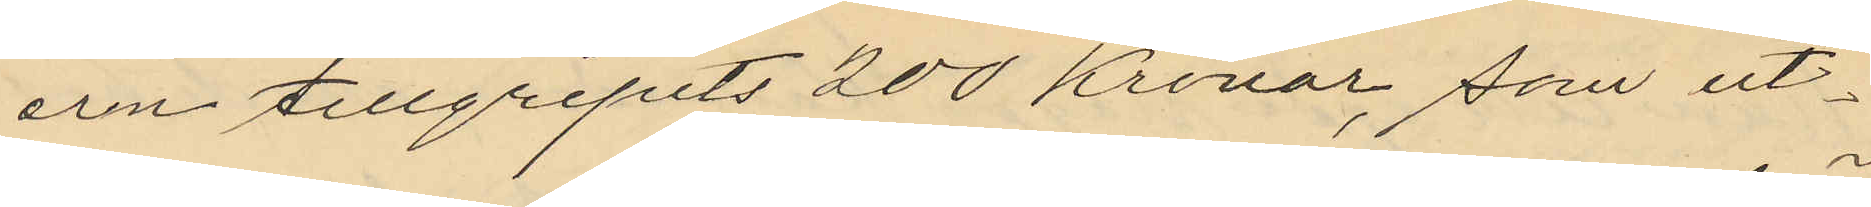ern tillgripits 200 Kronor, som ut¬
